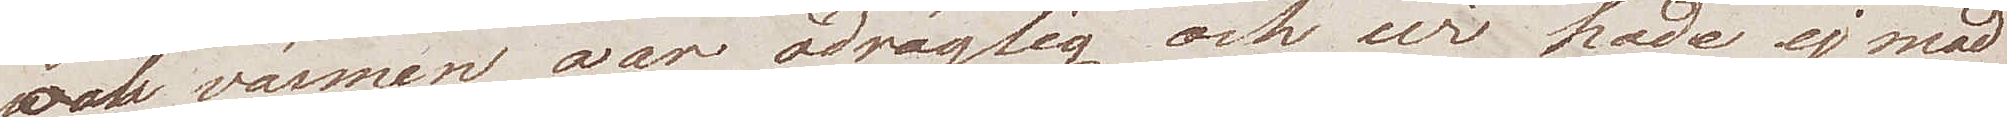och värmen war odräglig och wi hade ej mod
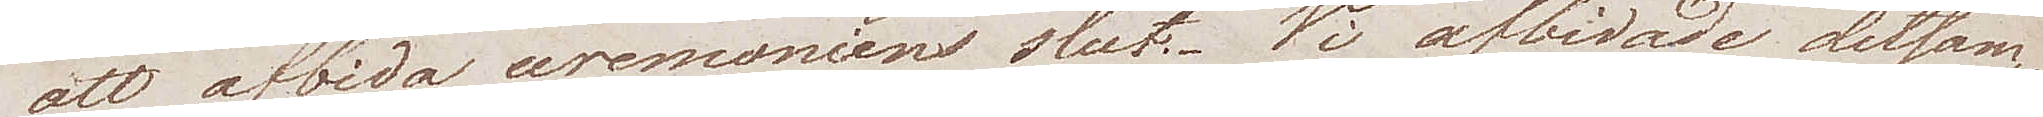att afbida ceremoniens slut. Vi afbidade detsam¬
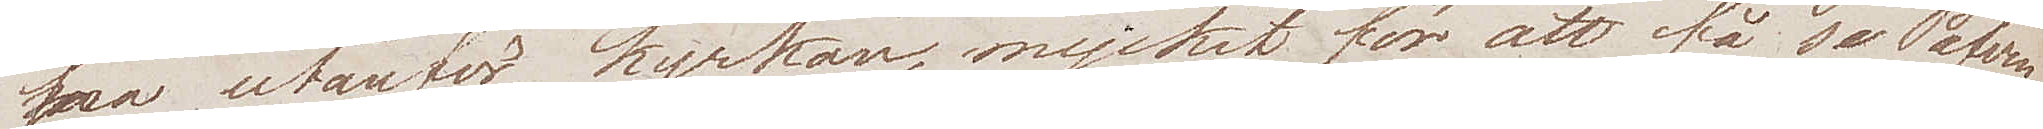ma utanför kyrkan, mycket för att få se Påfven
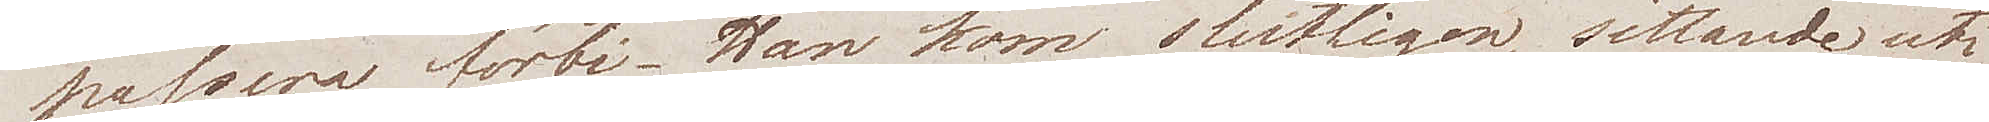passera förbi. Han kom slutligen, sittande uti 
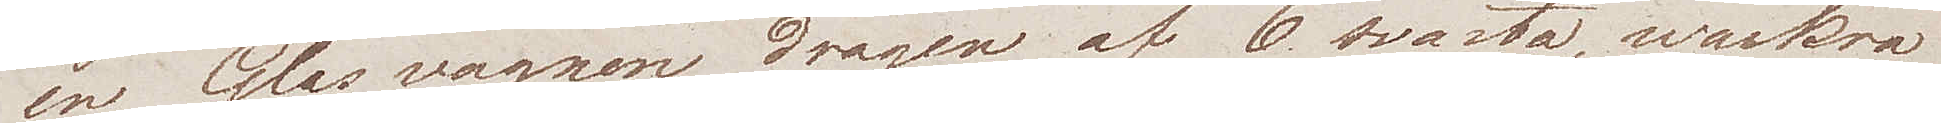en Glasvagnen, dragen af 6 svarta, wackra
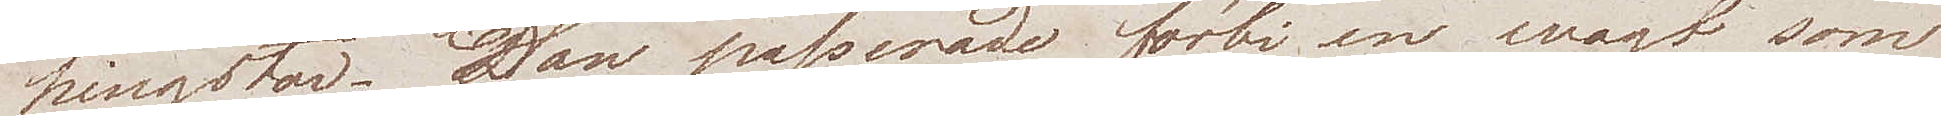hingstar. Han passerade förbi en wagt som
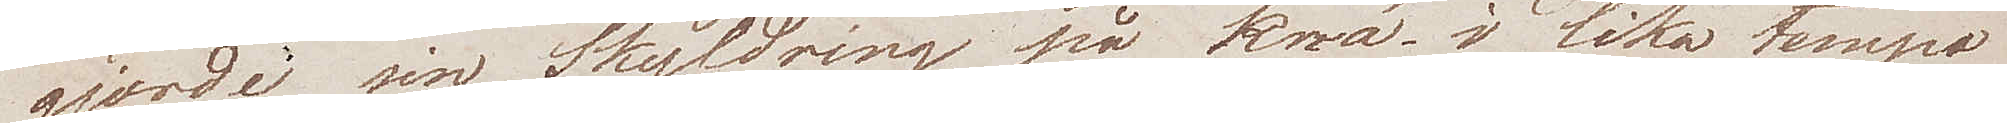gjorde sin Skyldring på knä i lika tempo
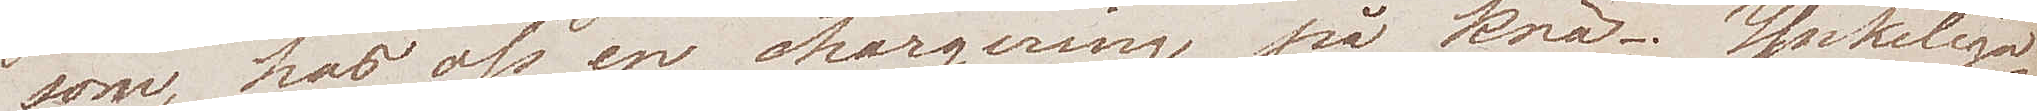som hos oss en chargering på knä. Ynkeliga¬
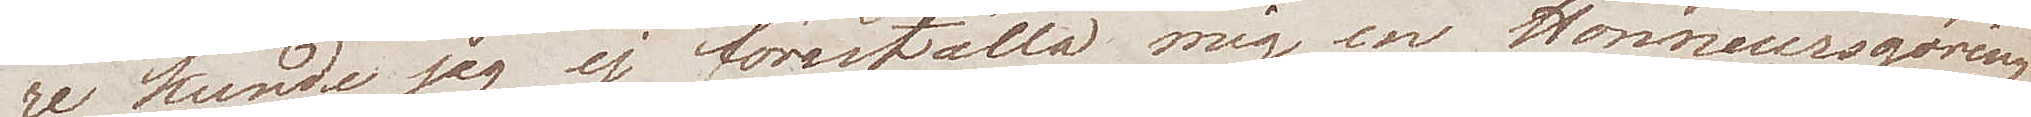re kunde jag ej föreställa mig en Honneursgöring
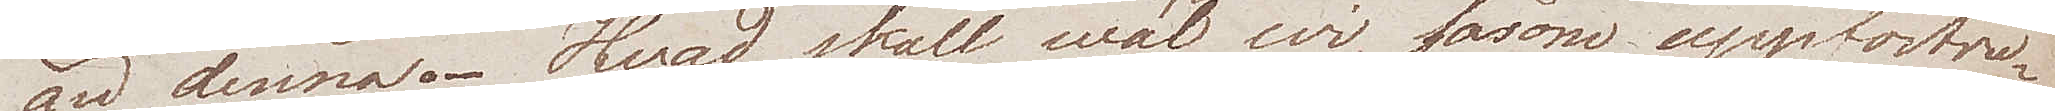än denna. Hvad skall wäl wi, såsom uppfostra¬
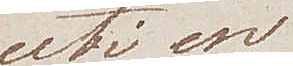uti en
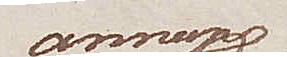annan
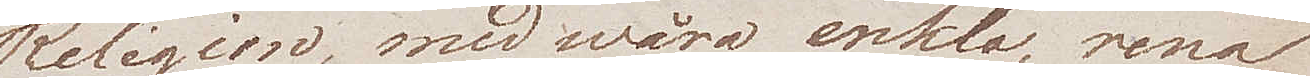Religion, med wåra enkla, rena
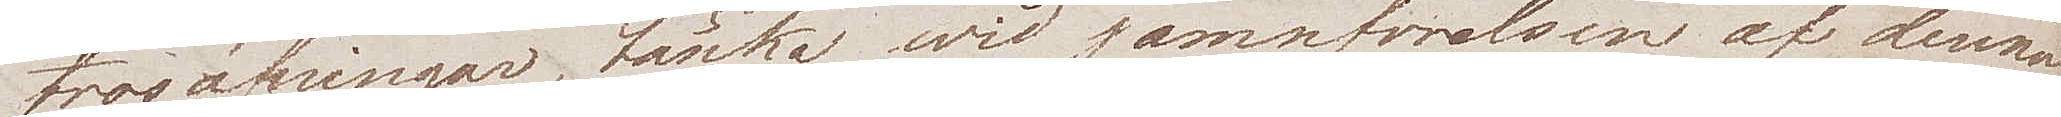trosöfningar, tänka wid jämförelsen af denna
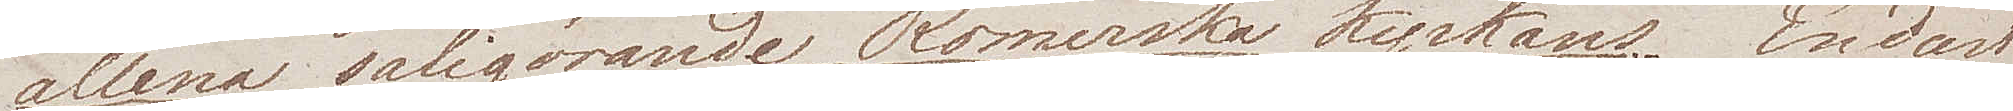allena saliggörande Romerska Kyrkans. Endast
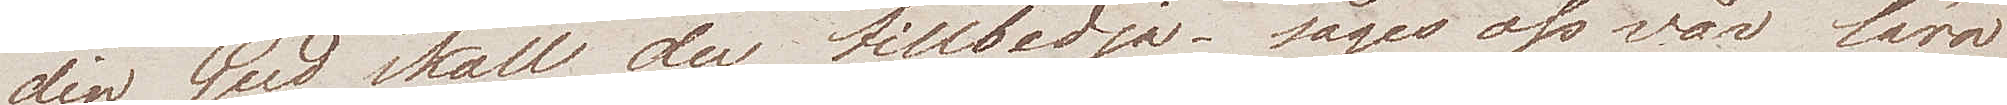din Gud skall du tillbedja – säger oss vår lära
